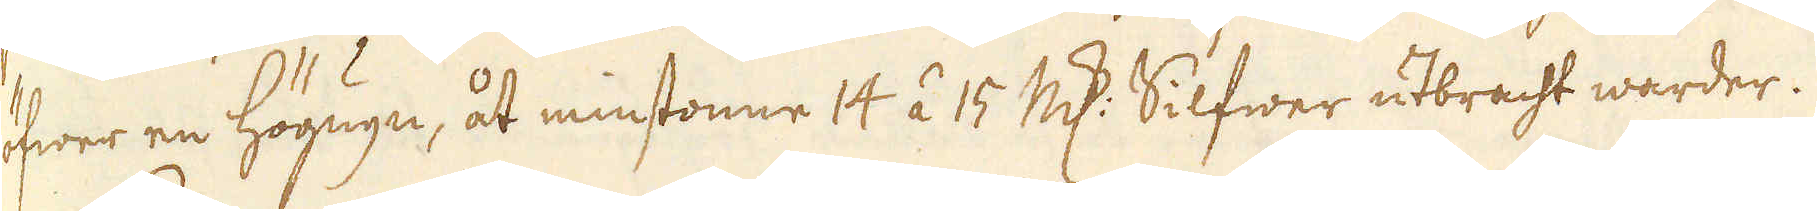öfwer en högugn, åt minstonne 14 á 15 marker Silfwer utbracht warder.
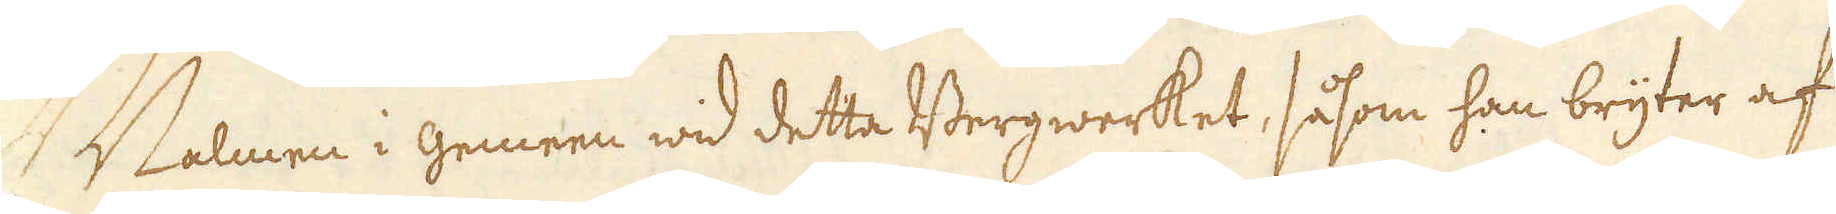Malmen i gemeen wid detta Bergwerket, såsom han bryter af
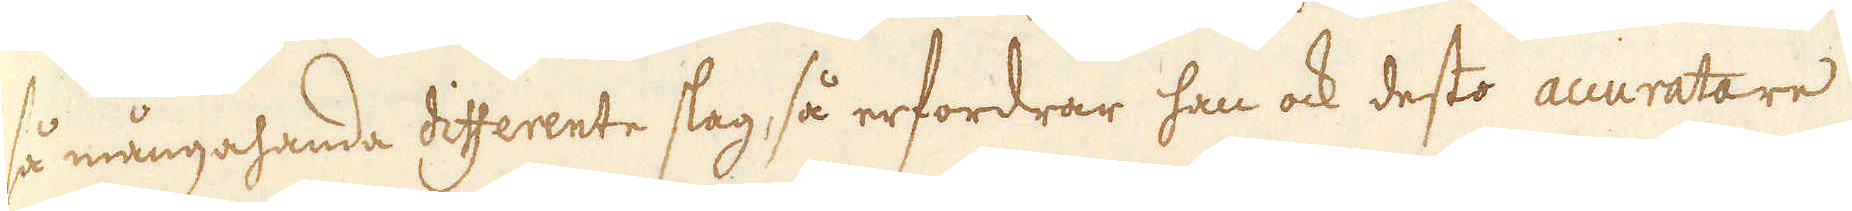så mångahanda differente slag, så erfordrar han ock desto accuratare
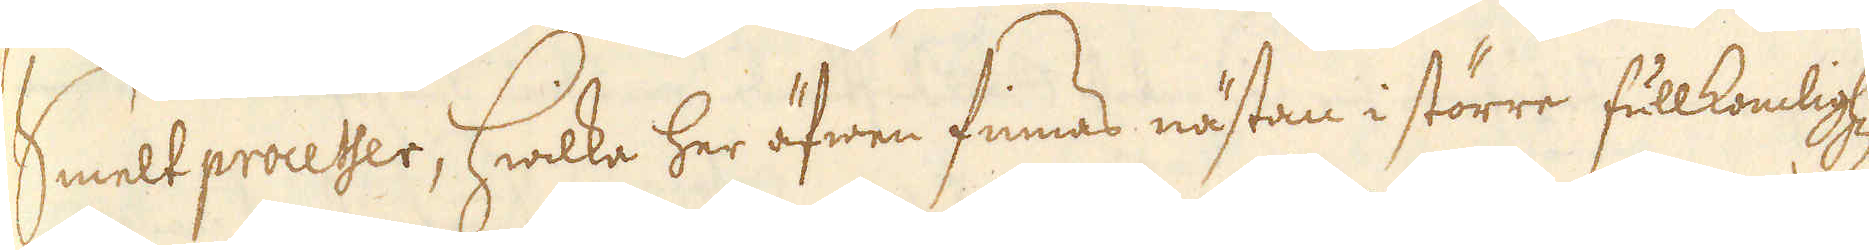Smeltprocesser, hwilka her äfwen finnas nästan i större fullkomlighet
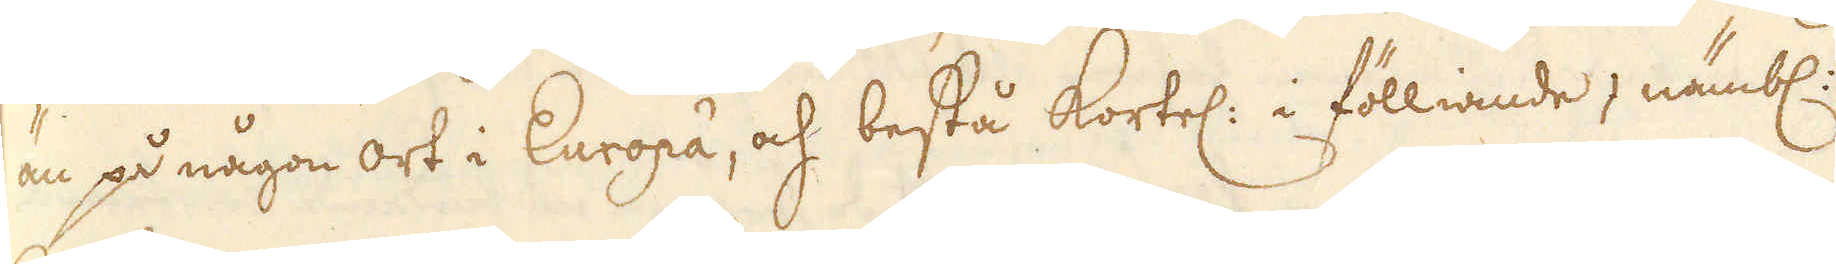än på någon ort i Europa, och bestå kortel: i fölliande, nämbl:
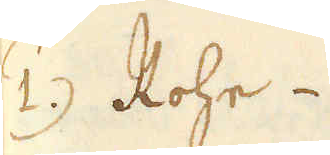1. Rohe.
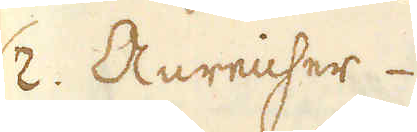2. Anreicher
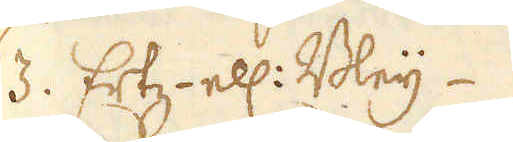3. Ertz- ell: Bleij
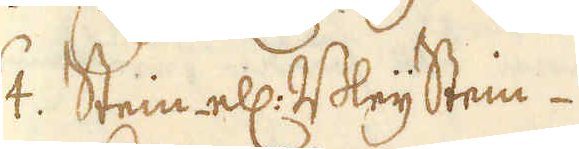4. Stein ell: BleijStein
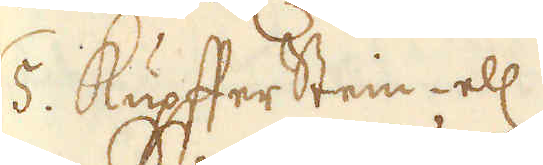5. KupfferStein- ell:
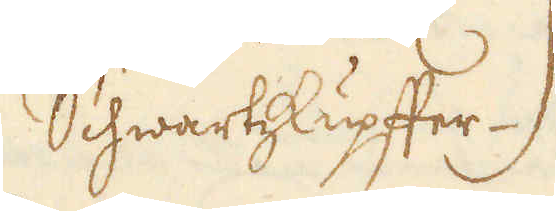SchwartzKupffer.
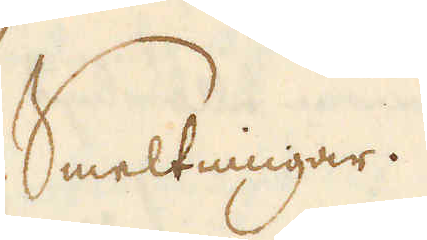Smeltingar.
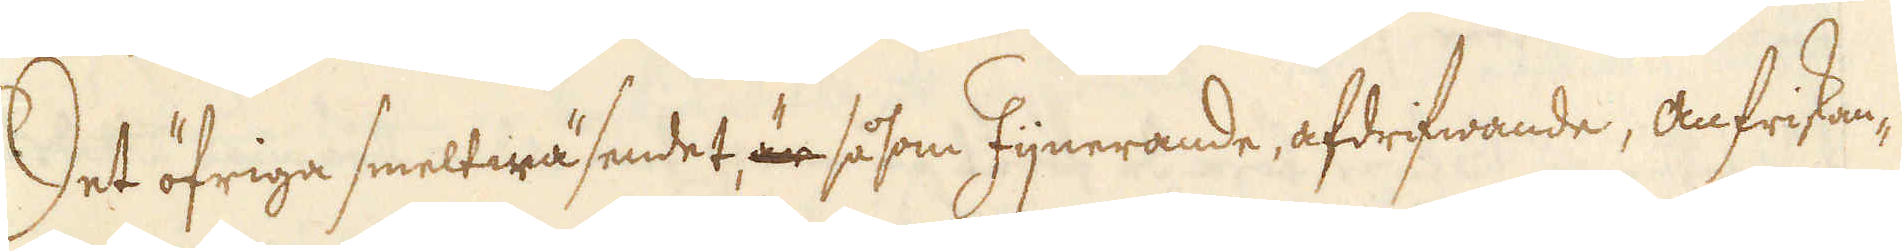Det öfriga smeltwäsendet är såsom fijnerande, afdrifwande, anfriskan-
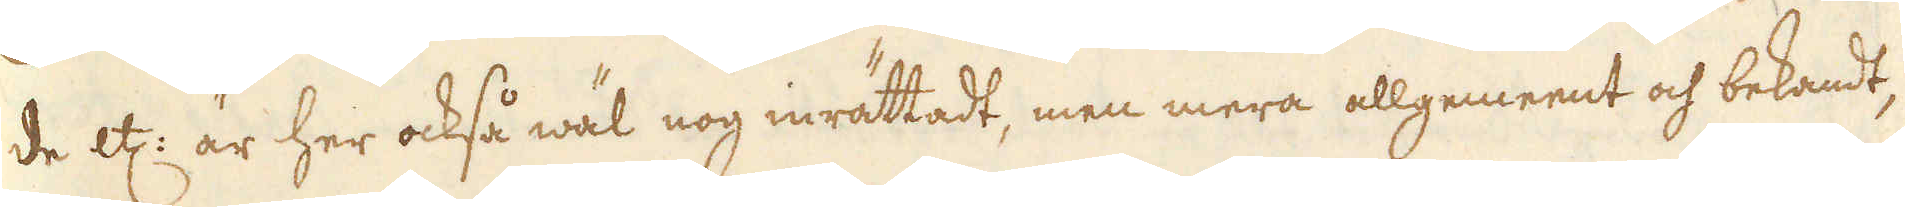de etc: är her också wäl nog inrättadt, men mera allgemeent och bekandt,
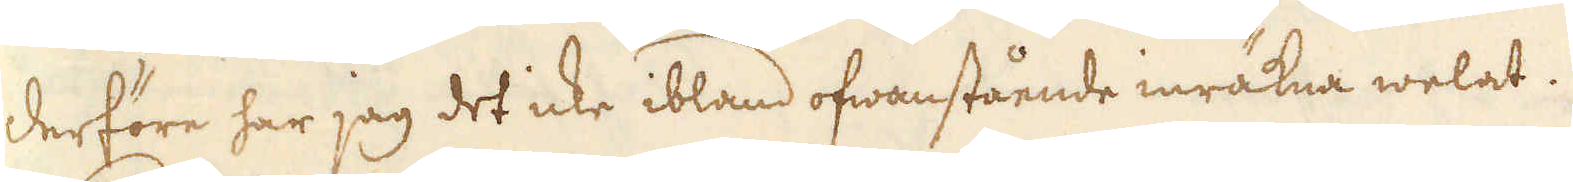derföre har jag det icke ibland ofwanstående inräkna welat.
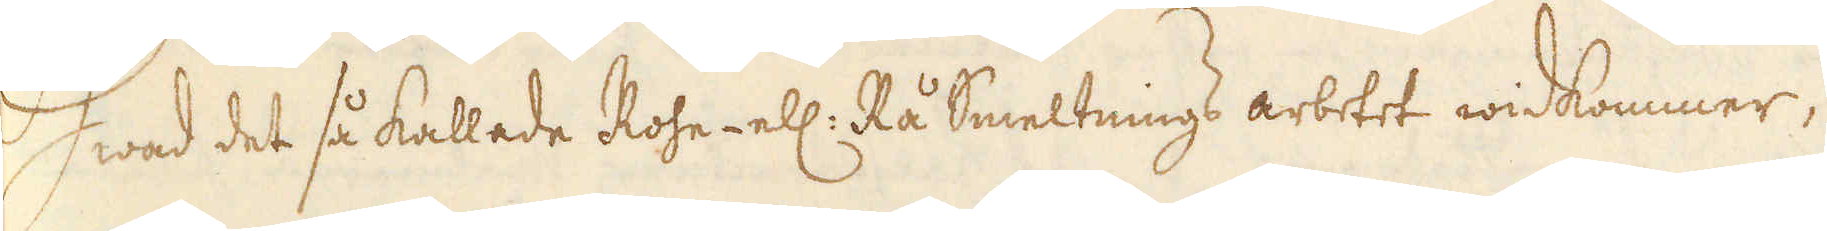Hwad det så kallede Rohe- ell: Rå Smeltnings arbetet widkommer,
